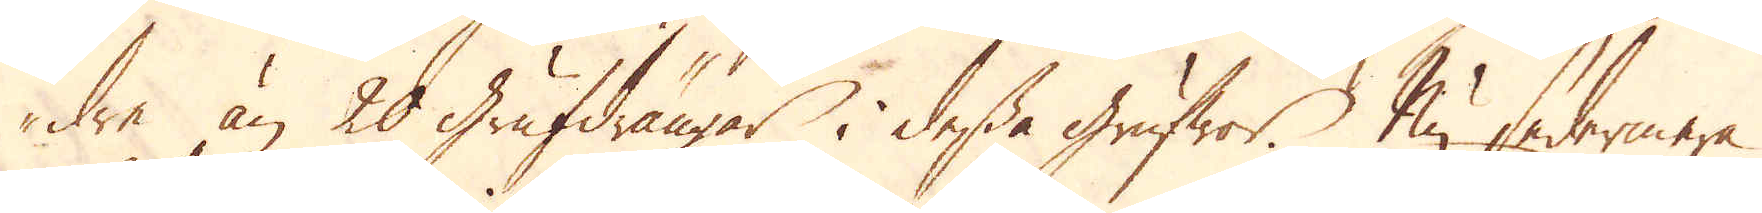dre än 20 Grufdrängar i dessa grufwor. Nu sedermera
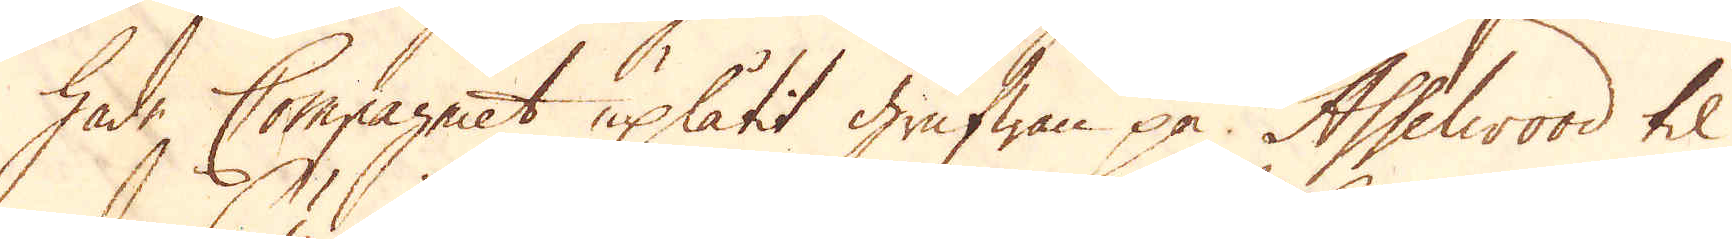hade Compagniet uplåtit Grufwan på Asselwood til
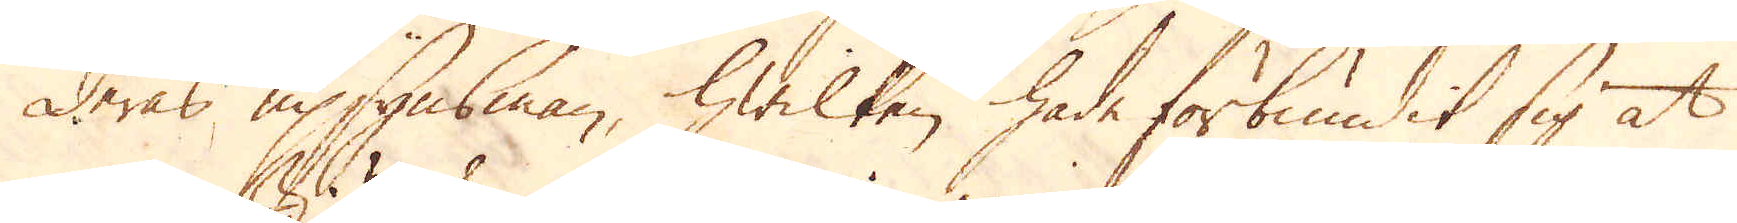deras upsynsman, hwilken hade förbundit sig at
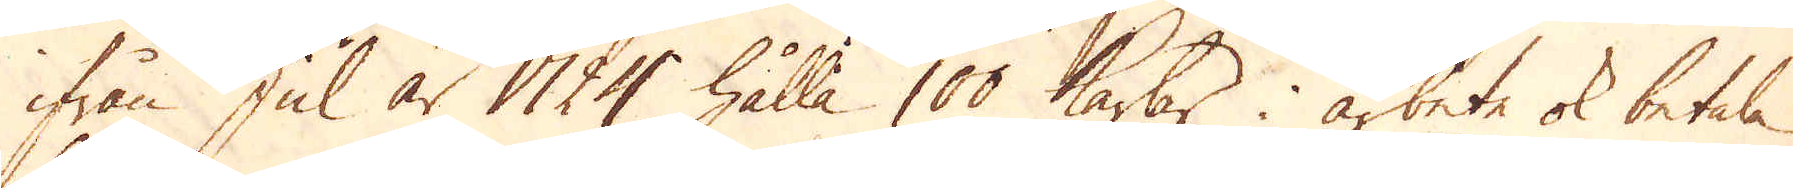ifrån Jul år 1724 hålla 100 karlar i arbete ok betala
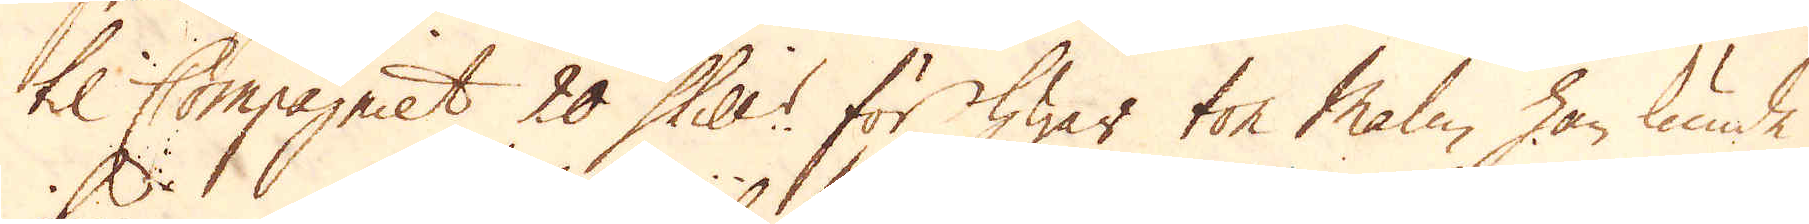til Compagniet 20 Skill:r för hwar ton Malm han kunde
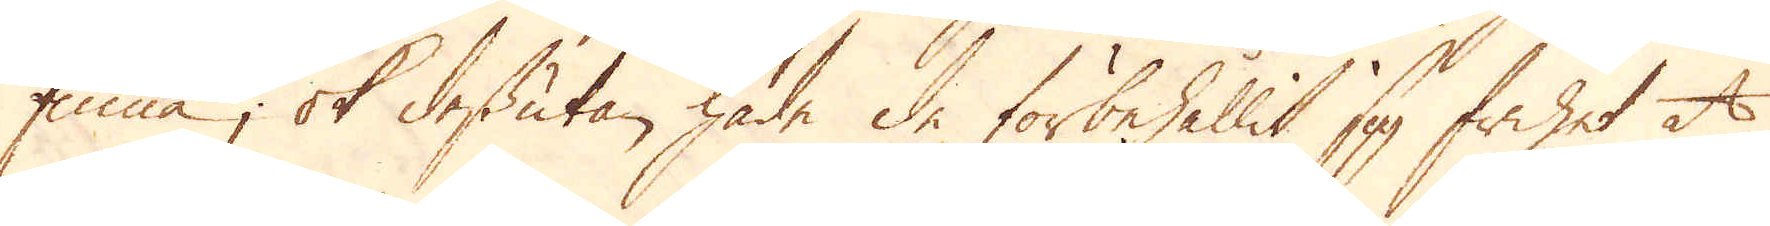finna; ok dessutan hade de förbehållit sig frihet at
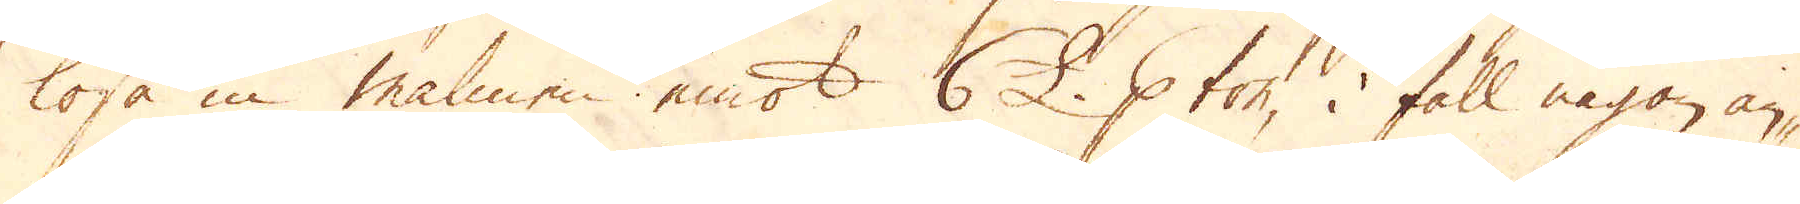lösa in malmen emot 6 £. p ton, i fall någon an-
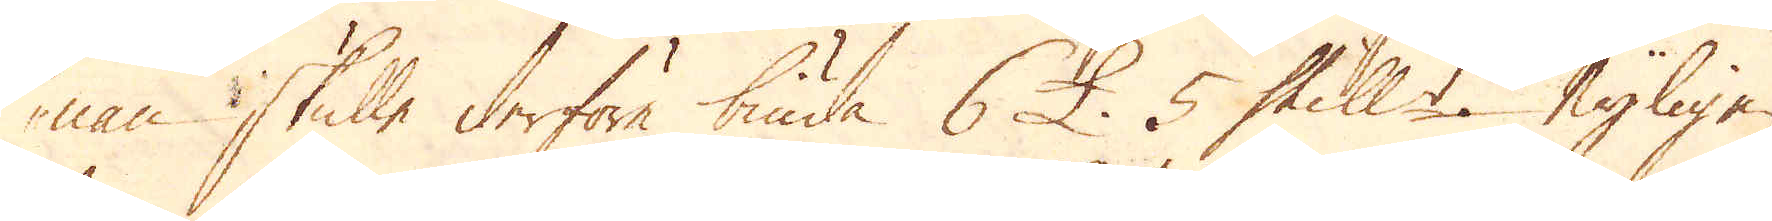nan skulle derföre biuda 6 £. 5 Skill:r nyligen
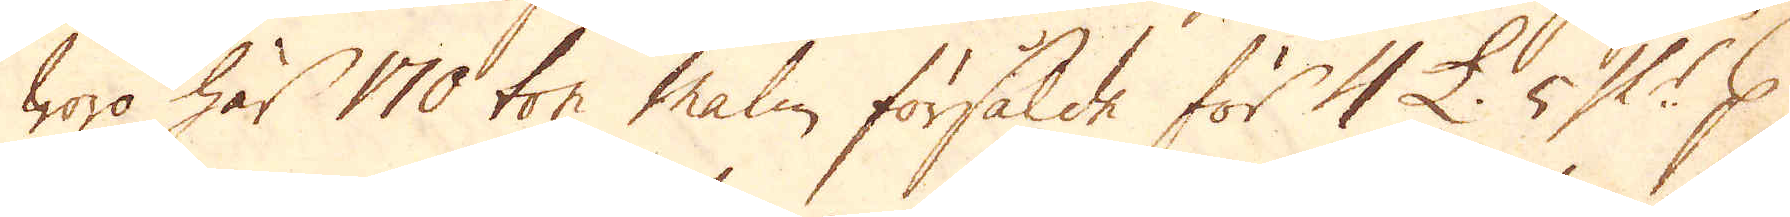woro här 170 ton malm försålde för 4 £. 5 Sk:r p
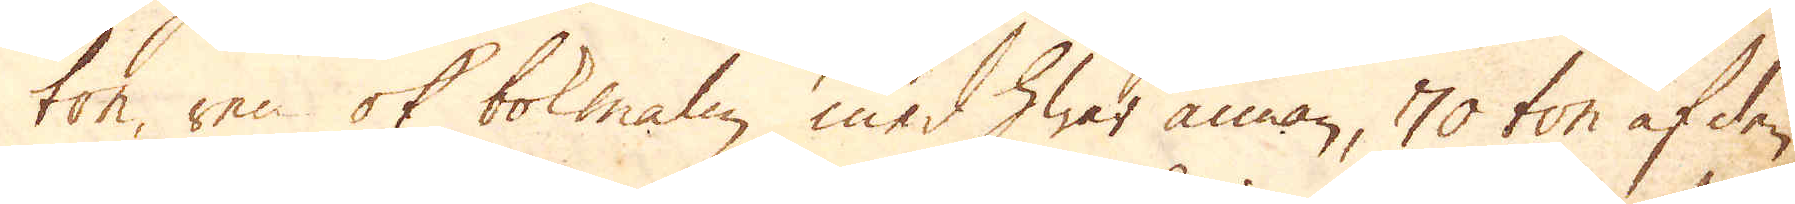ton, ren ok bokmalm med hwar annan, 70 ton af den
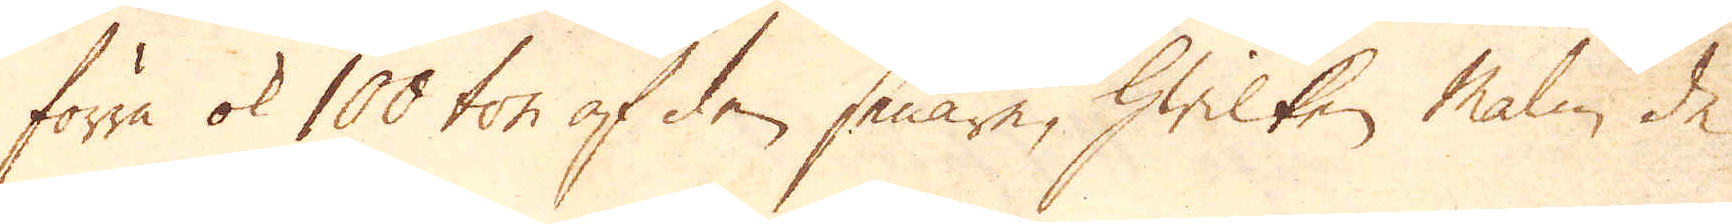förra ok 100 ton af den senare, hwilken malm de
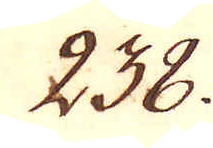238.
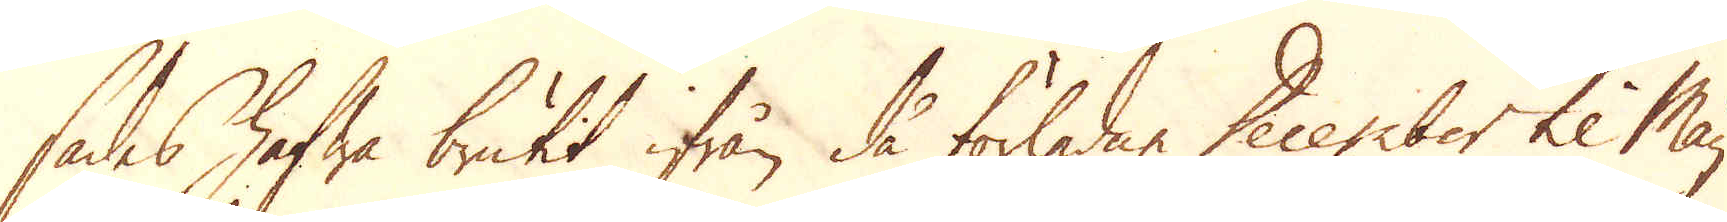sades hafwa brutit ifrån då förledne December til Maij
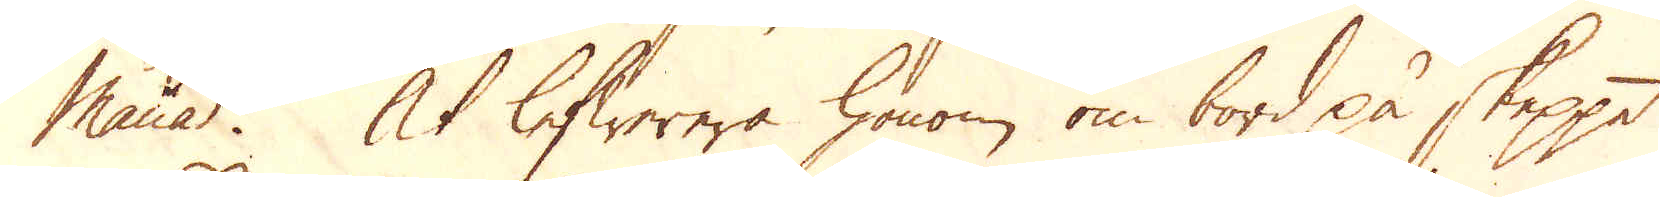månad. At lefwerera honom om bord på skeppet
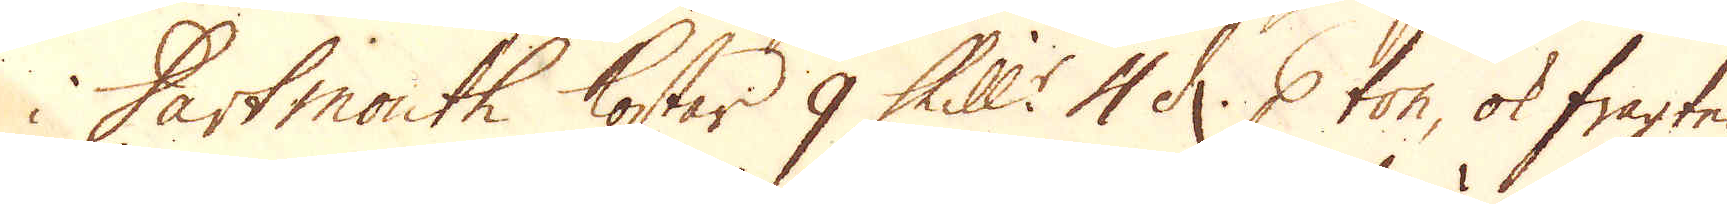i Dartmouth kostar 9 Skill:r 4 d: p ton, ok fragten
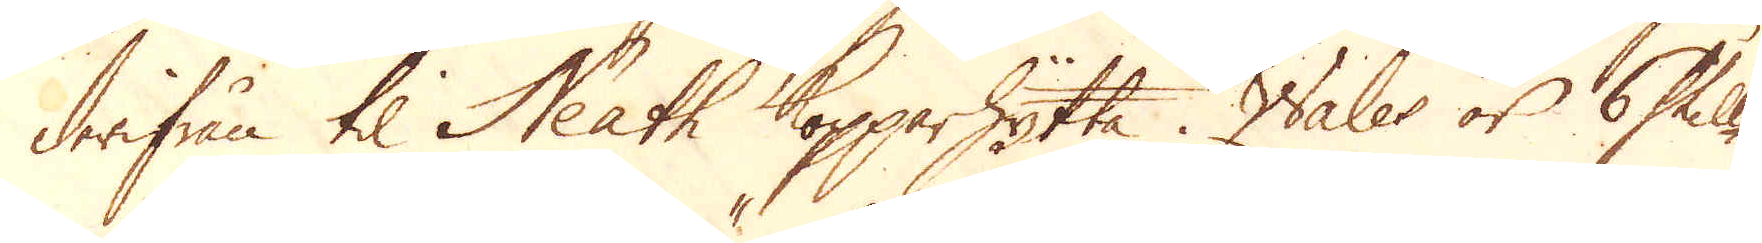derifrån til Neath Kopparhytta i Wales är 6 Skill:r
